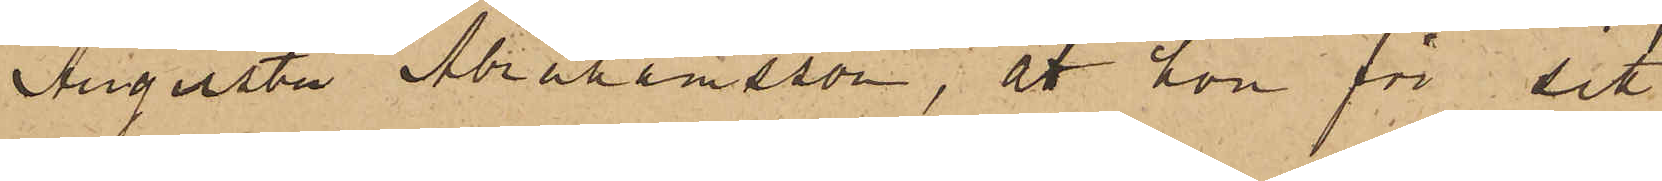Augusta Abrahamsson, att hon för sitt
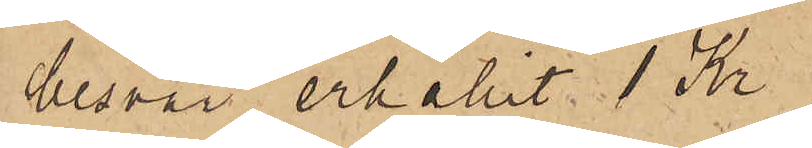besvär erhållit 1 Kr;
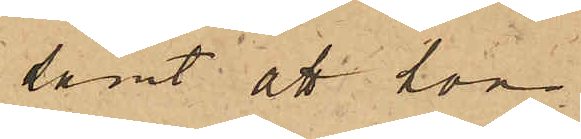samt att hon
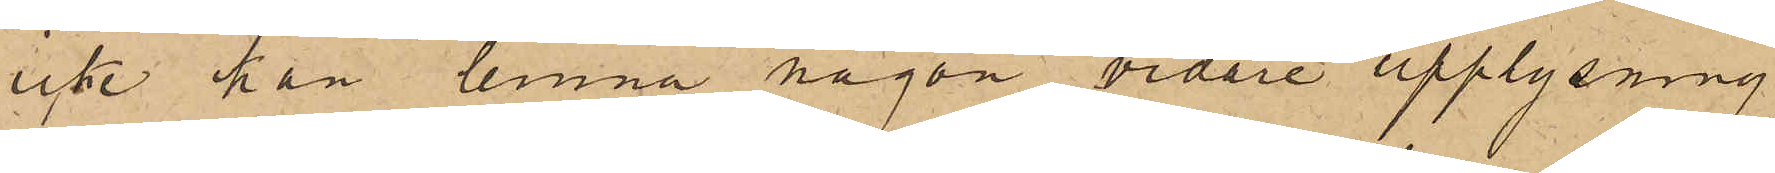icke han lemna någon vidare upplysning
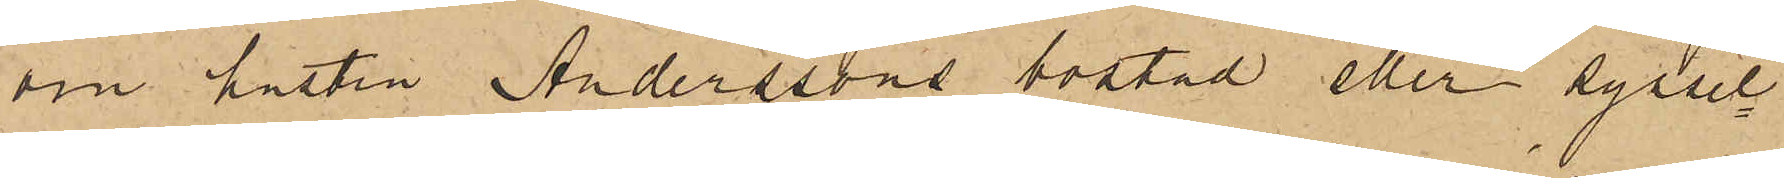om hustru Anderssons bostad eller syssel¬
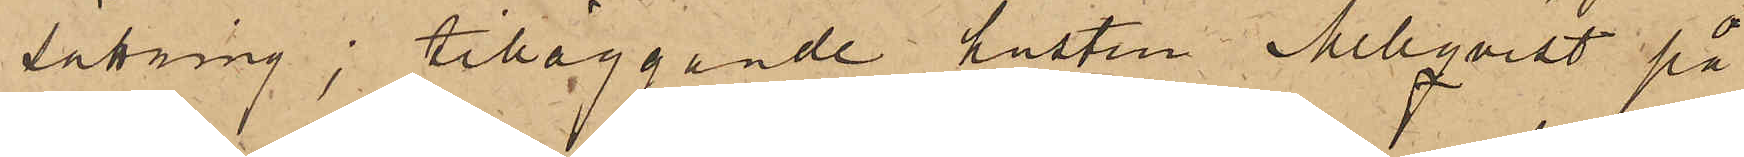säkning; tilläggande hustru Mellqvist på
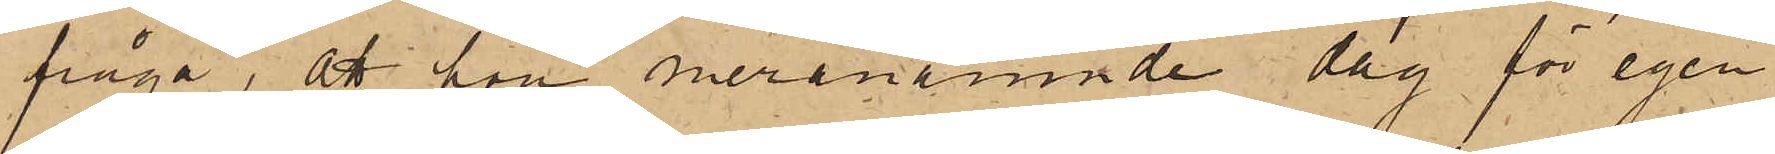fråga, att hon meranämnde dag för egen
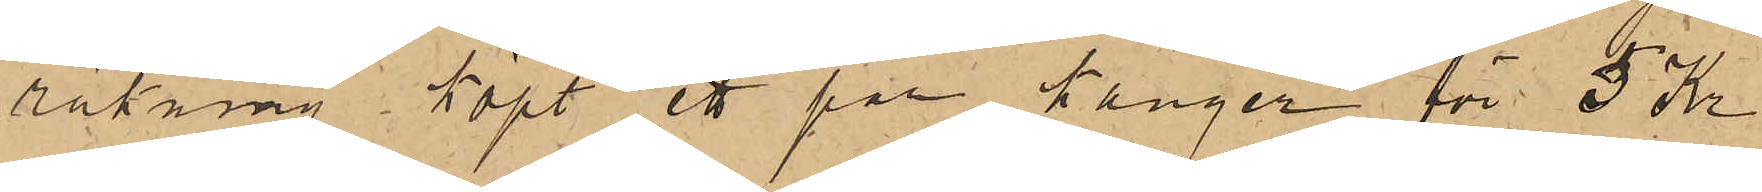räkning köpt ett par känger för 5 Kr
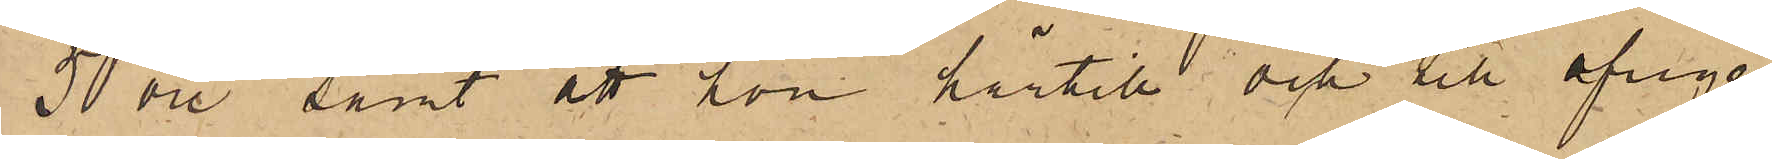50 öre, samt att hon härtill och till öfrige
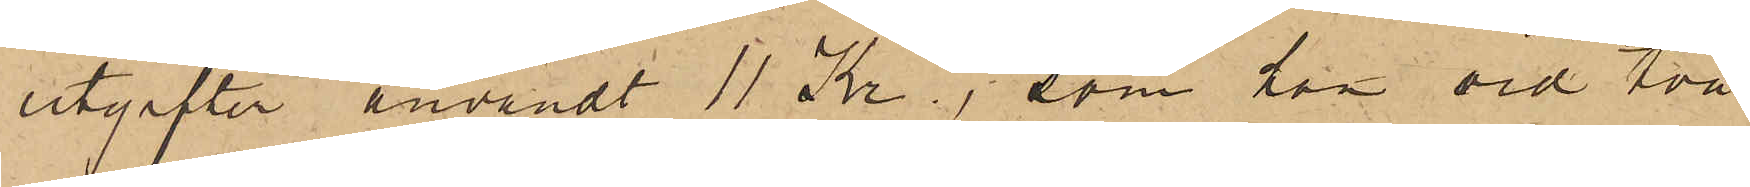utgifter användt 11 Kr., som han vid två
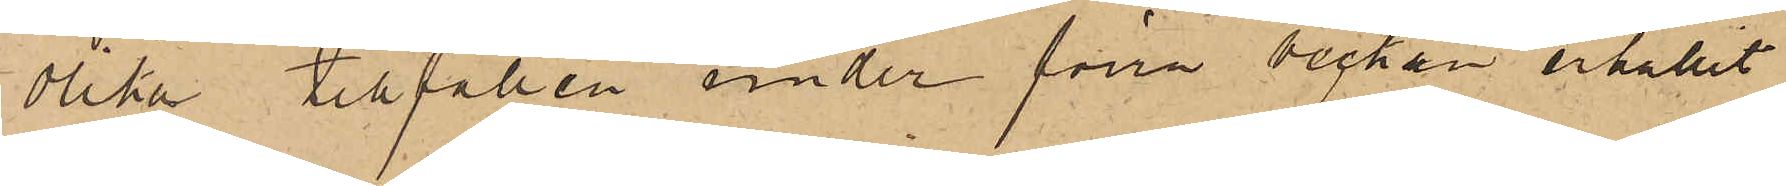olika tillfällen under förra veckan erhållit
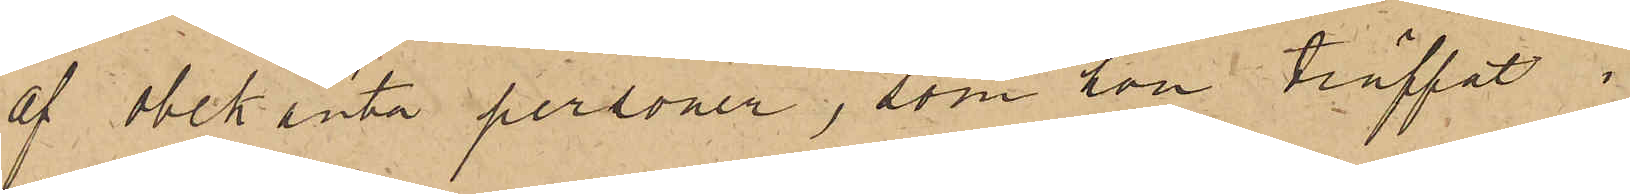af obekanta personer, som hon träffat i
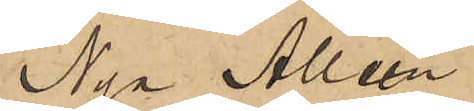Nya Alléen.
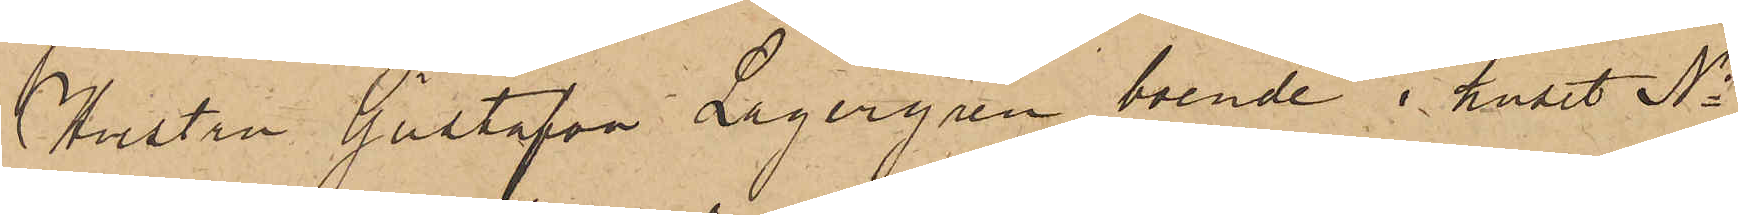Hustru Gustafva Lagergren, boende i huset No
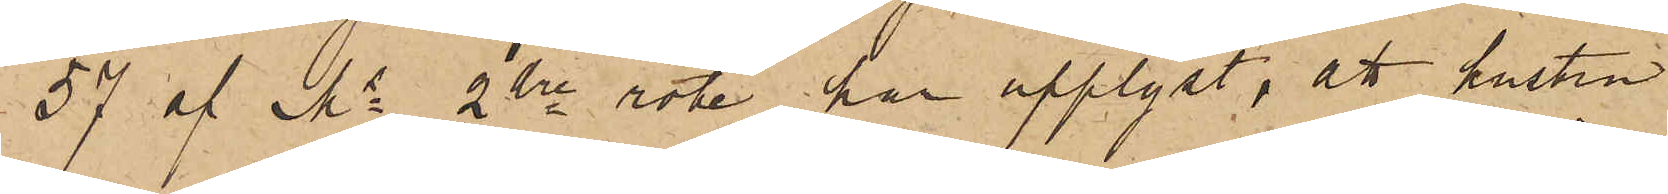57 af Ms 2dre rote, har upplyst, att hustru
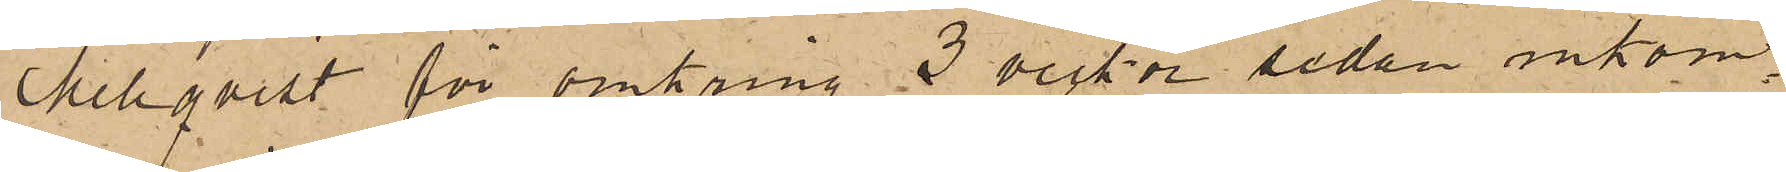Mellqvist för omkring 3 veckor sedan inkom¬
